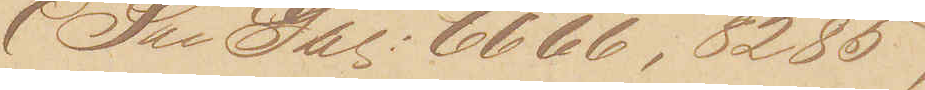(See Gbl: 6666, 8285,
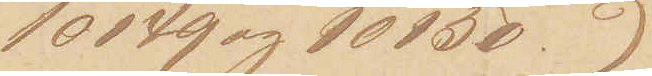10149 og 10150.)
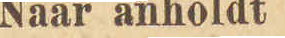Naar anholdt
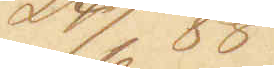24/6 88
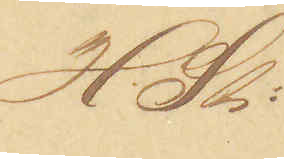H. St.
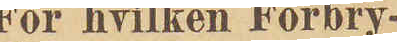For hvilke Forbry¬
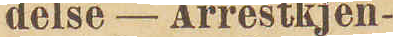delse - Arrestkjen¬
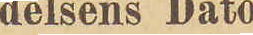delsens Dato
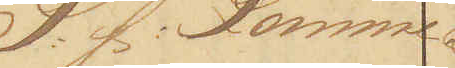S: f: Lomme¬
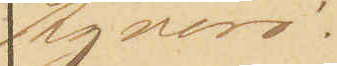tyveri.
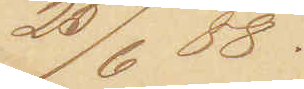25/6 88.
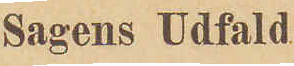Sagens Udfald
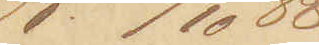K: 20/10 88
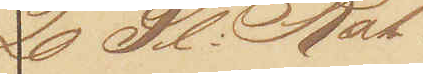20 Sl: Rot¬
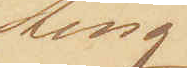ting
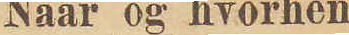Naar og hvorhen
